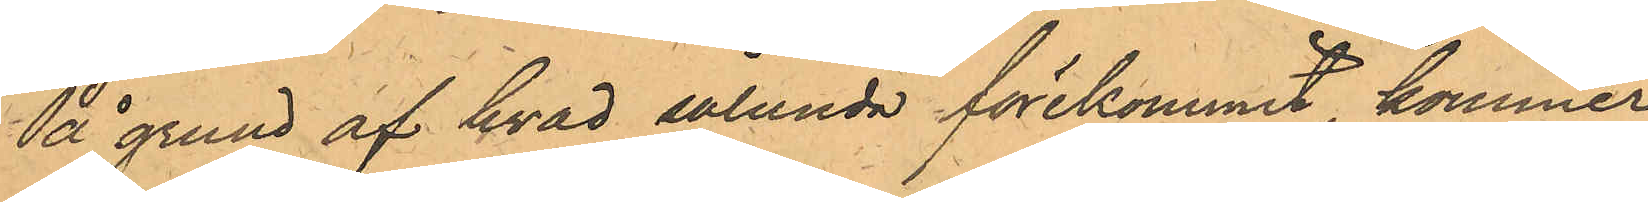På grund af hvad sålunda förekommit, kommer
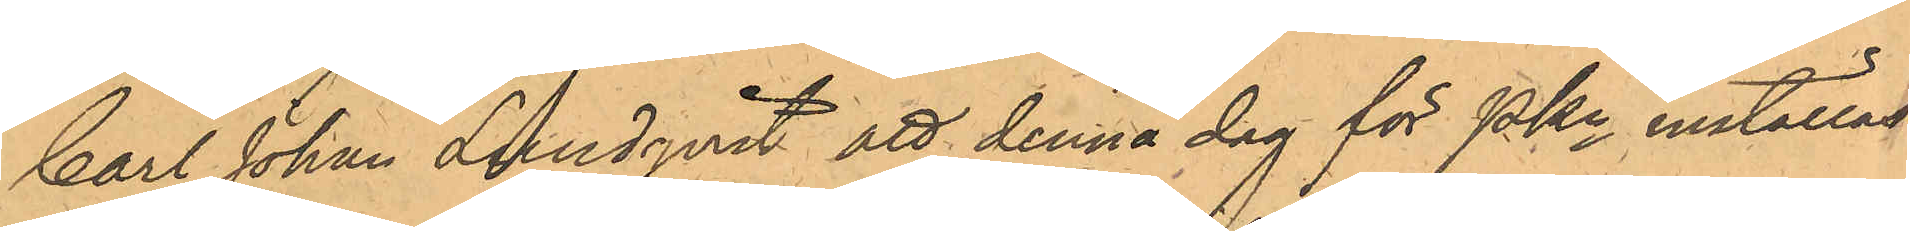Carl Johan Lundqvist att denna dag för PKn inställas.
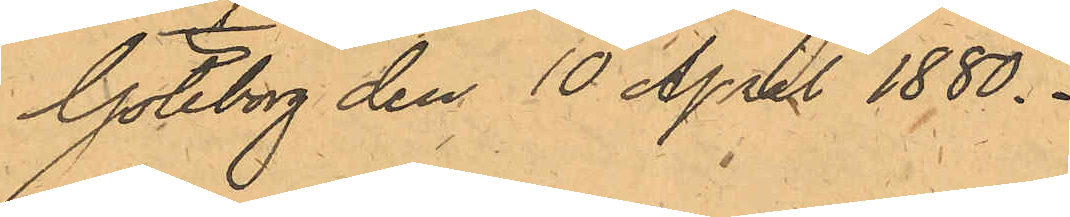Göteborg den 10 April 1880.
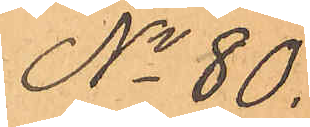No 80.
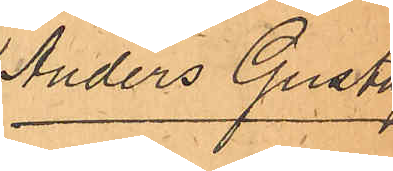Anders Gustaf
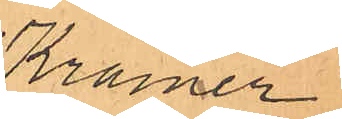Kramer
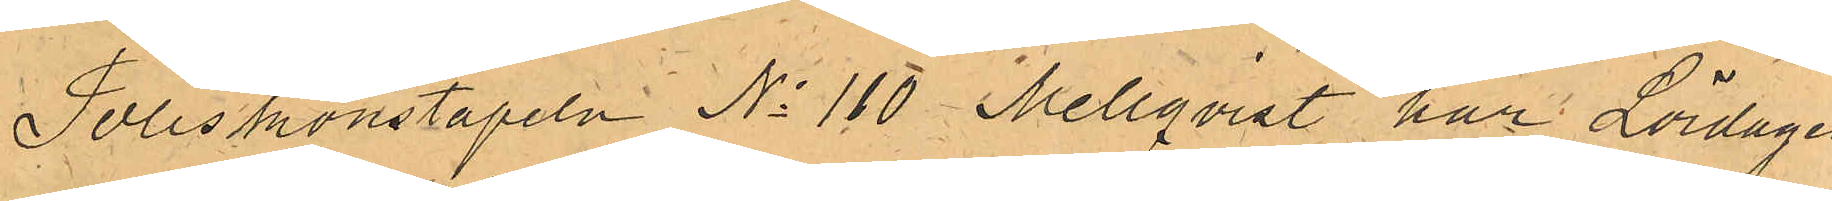Poliskonstapeln No 110 Mellqvist har Lördagen
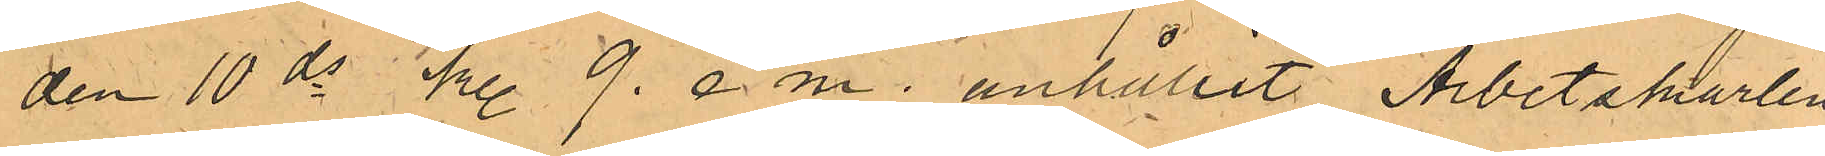den 10 ds kl. 9. e.m. anhållit Arbetskarlen
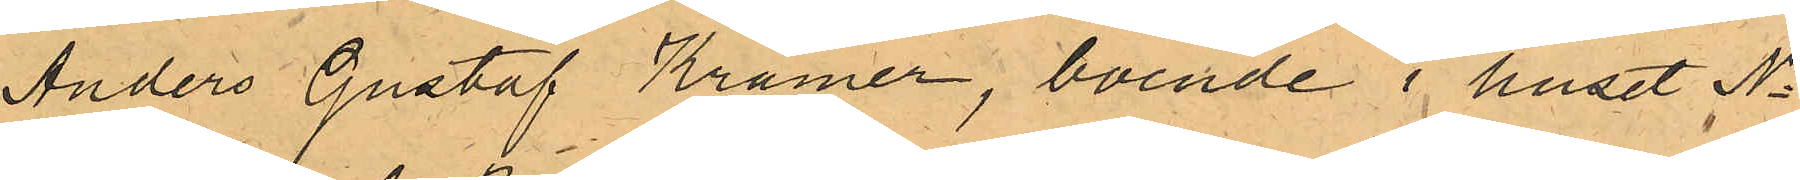Anders Gustaf Kramer, boende i huset No
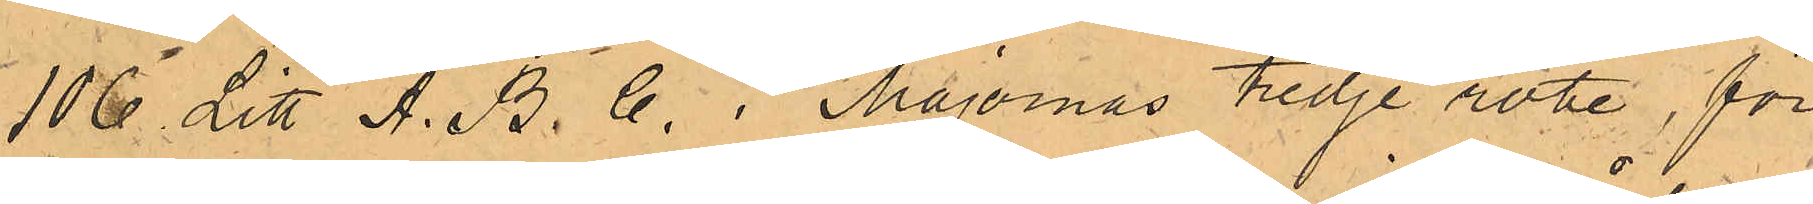106 Litt A. B. C. i Majornas Tredje rote, för
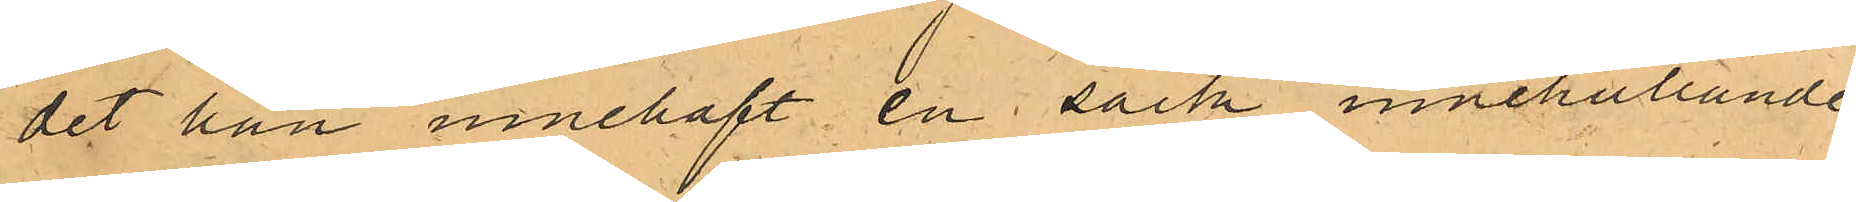det han innehaft en säck innehållande
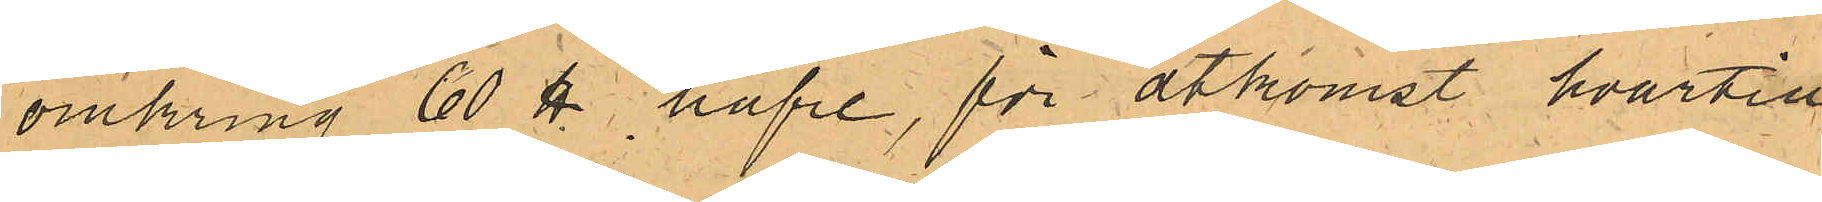omkring 60 ℔ hafre, för åtkomst hvartill
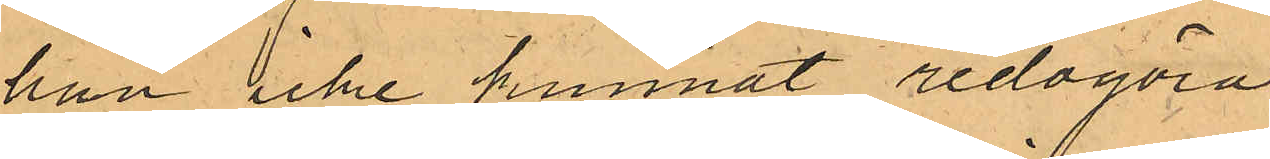han icke kunnat redogöra.
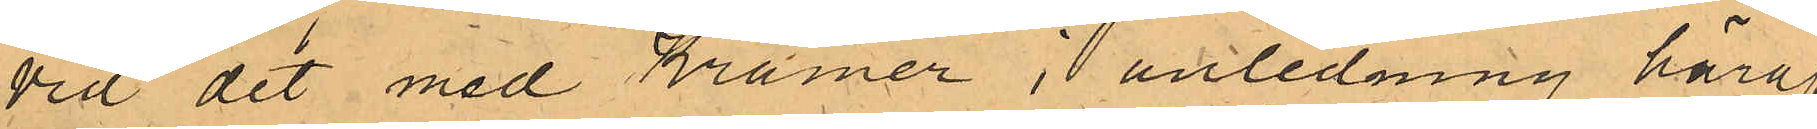Vid det med Kramer i anledning häraf
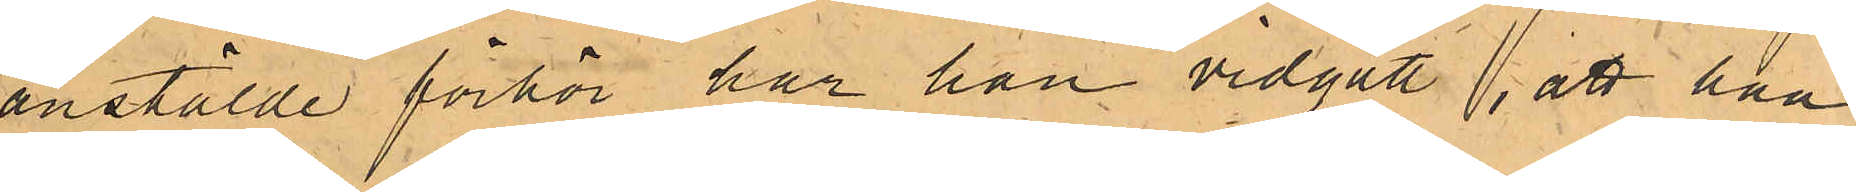anstälde förhör har han vidgått, att han
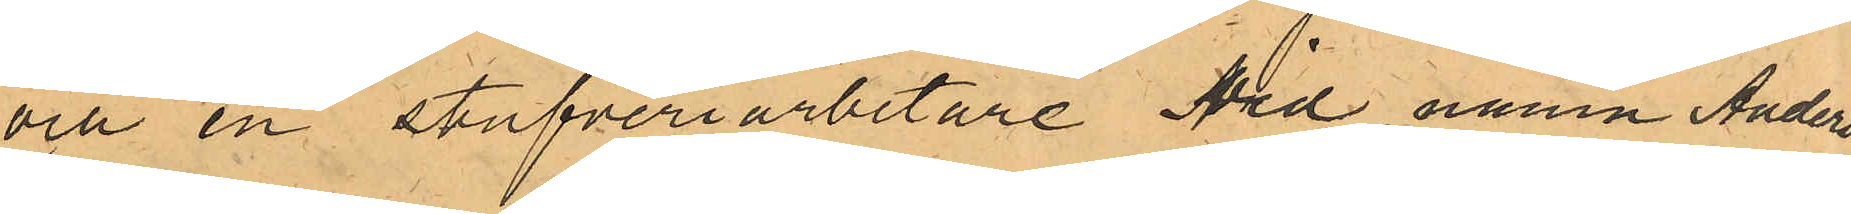och en stufveriarbetare vid namn Anders
